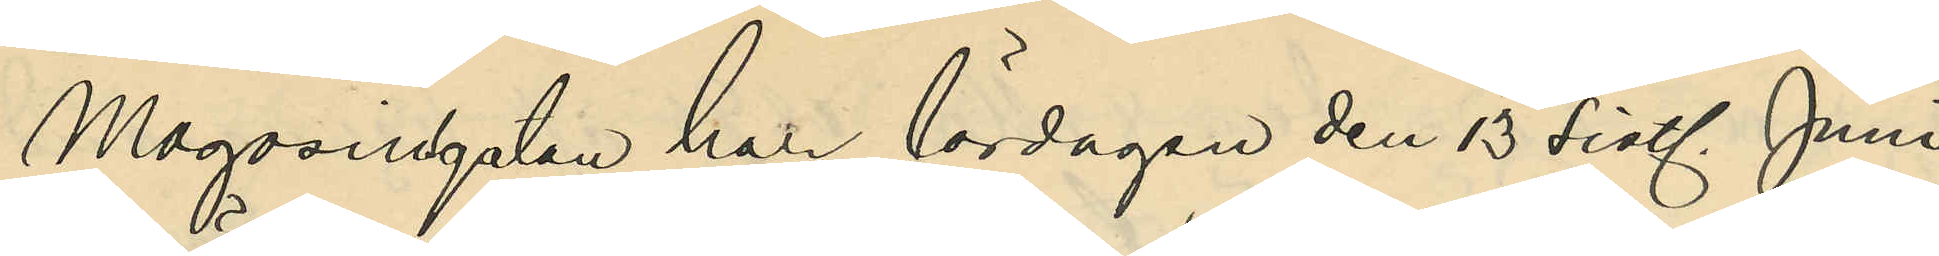Magasinsgatan har lördagen den 13 sistl. Juni
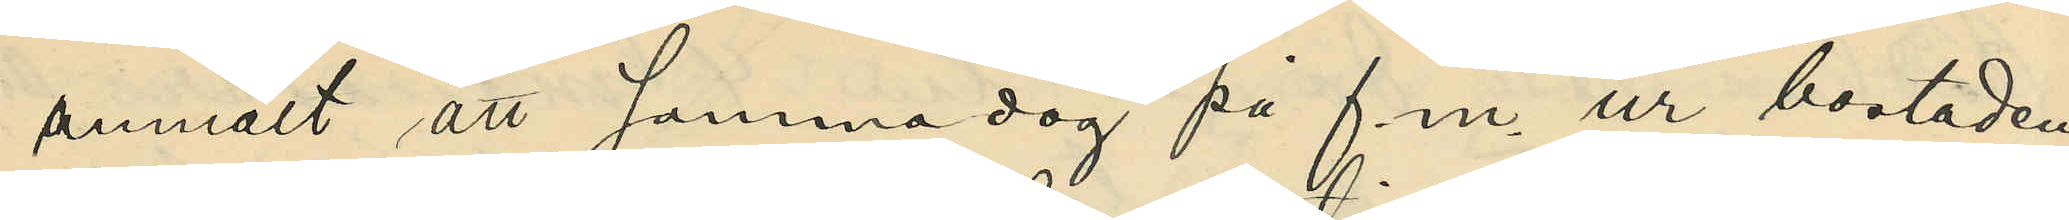anmält att samma dag på f.m. ur bostaden,
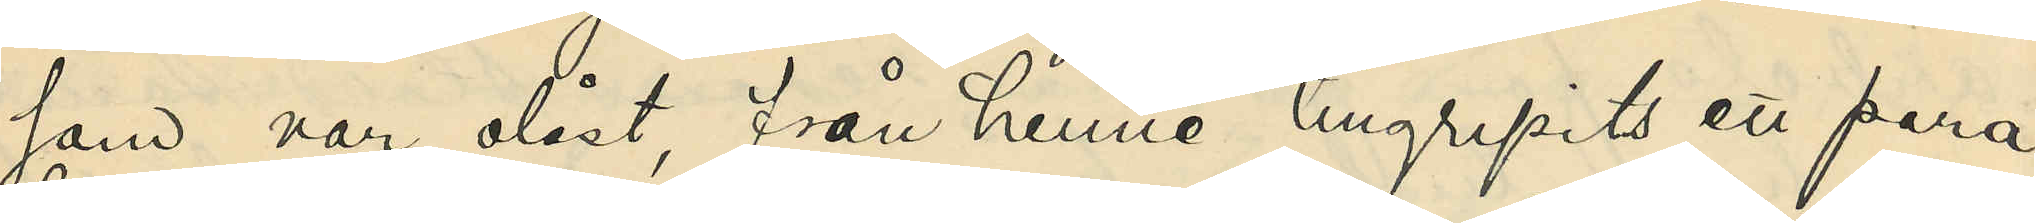som var olåst, från henne tillgripits ett para¬
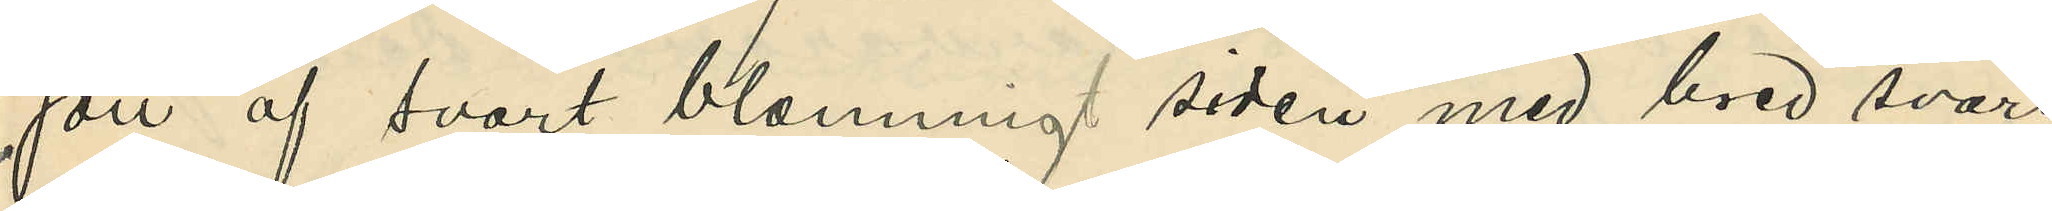soll af svart blommigt siden med bred svart
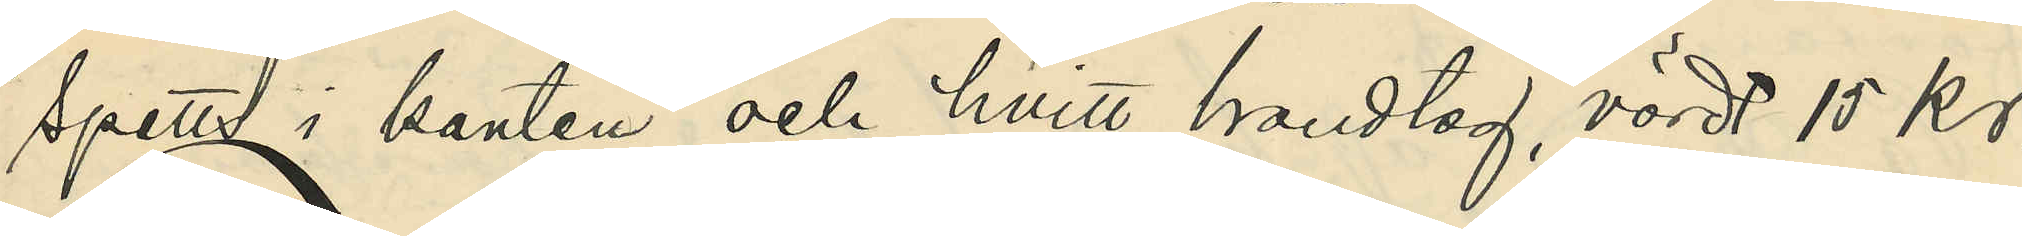spetts i kanten och hvitt handtag, värdt 15 kr.
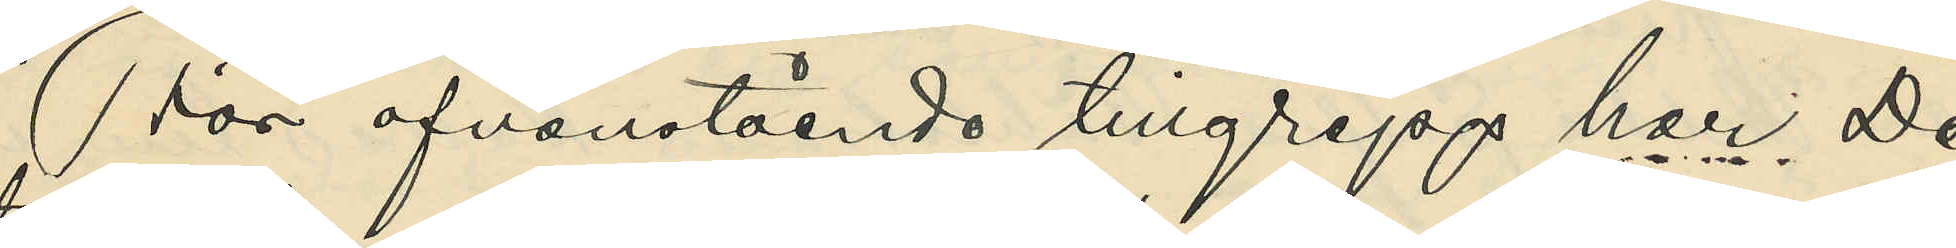För ofvanstående tillgrepp har De¬
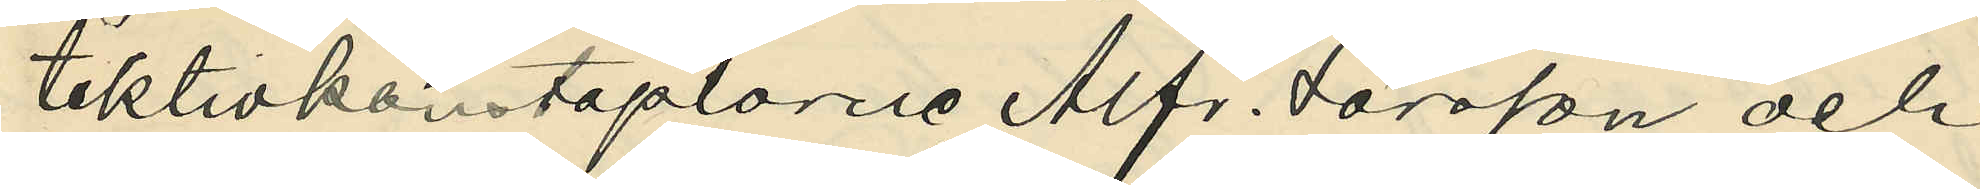tektivkonstaplarne Alfr. Larsson och
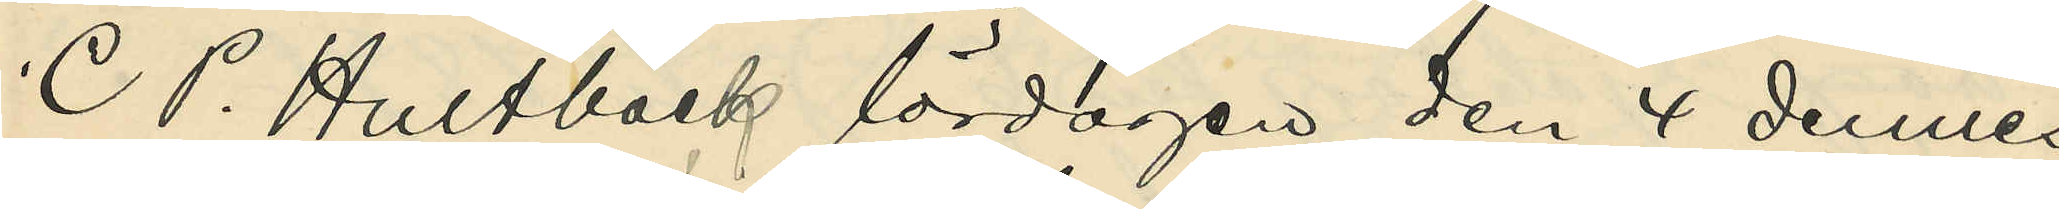C P. Hultbäck lördagen den 4 dennes
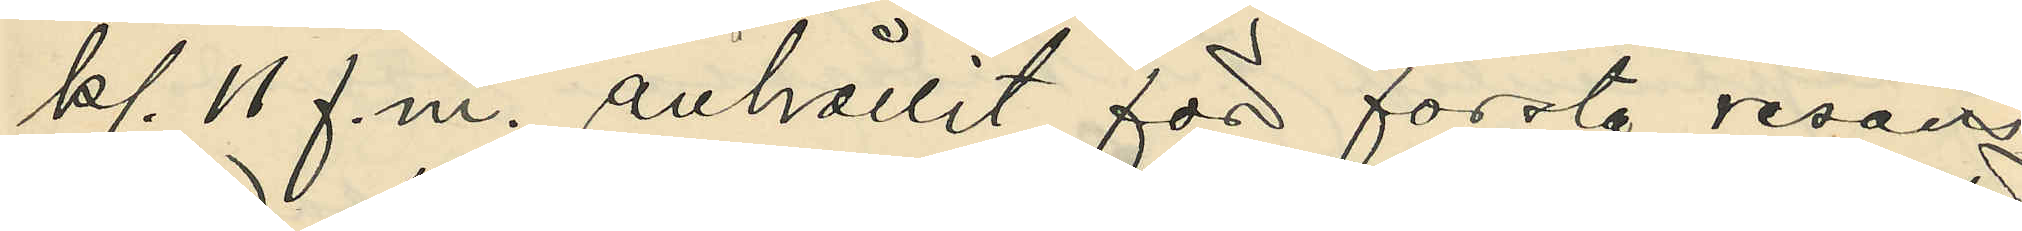kl. 11 f.m. anhållit för första resans
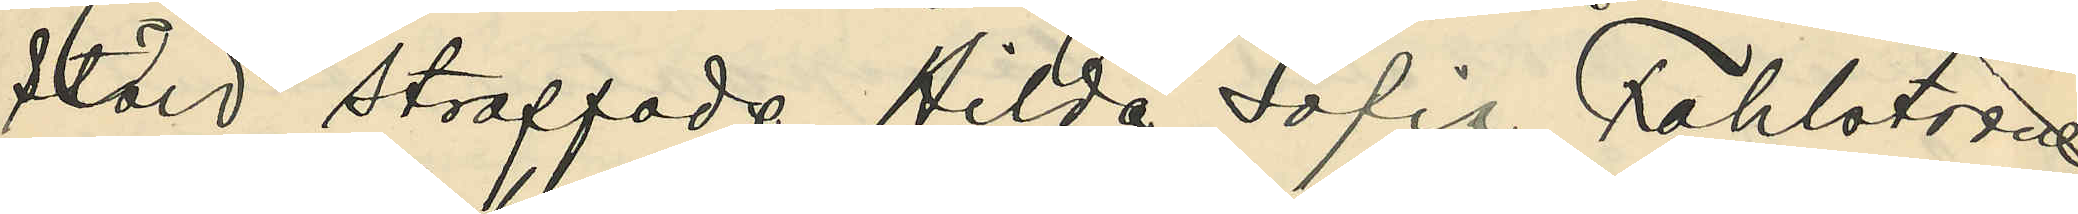stöld straffade Hilda Sofia Fahlström
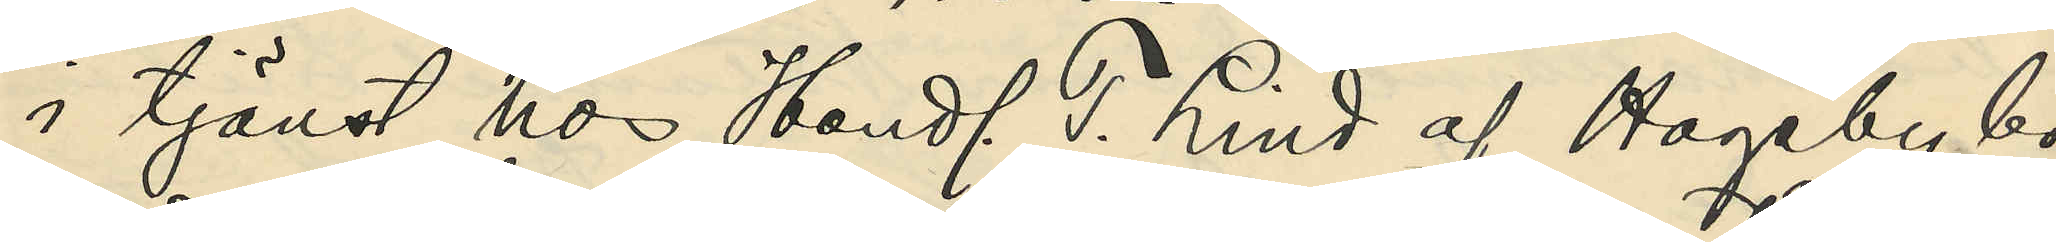i tjänst hos Handl. T. Lind af Hageby bo¬
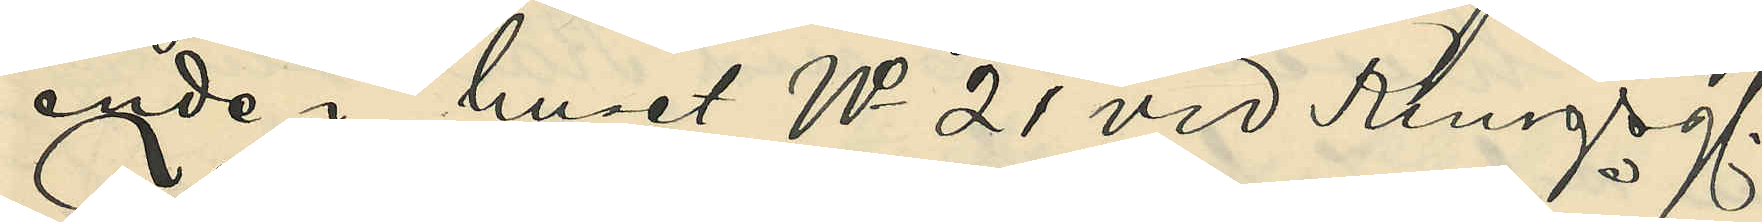ende i huset No 21 vid Kungsg.
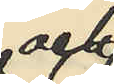och
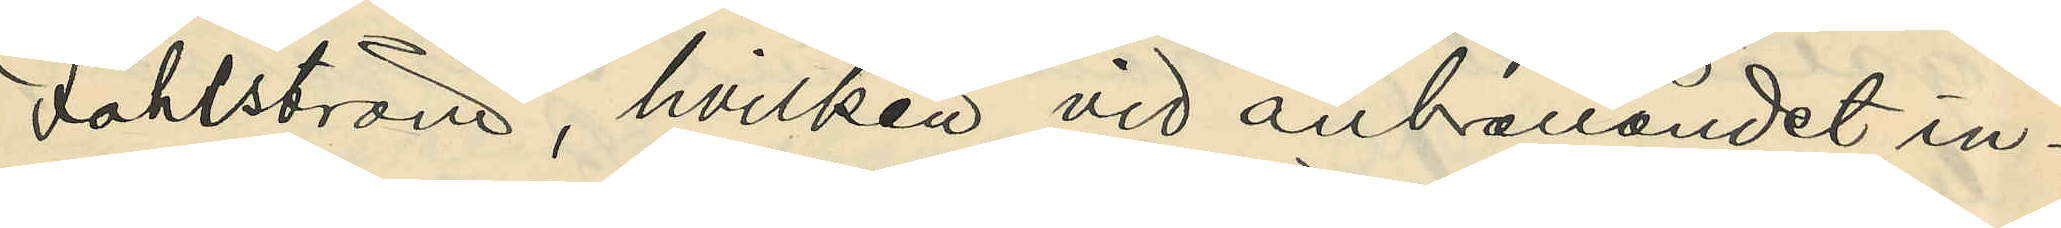Fahlström, hvilken vid anhållandet in¬
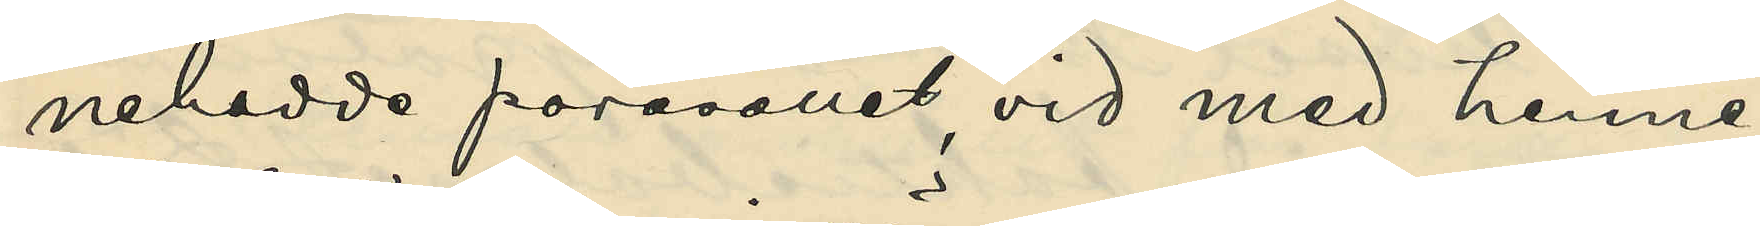nehadde parasollet, vid med henne
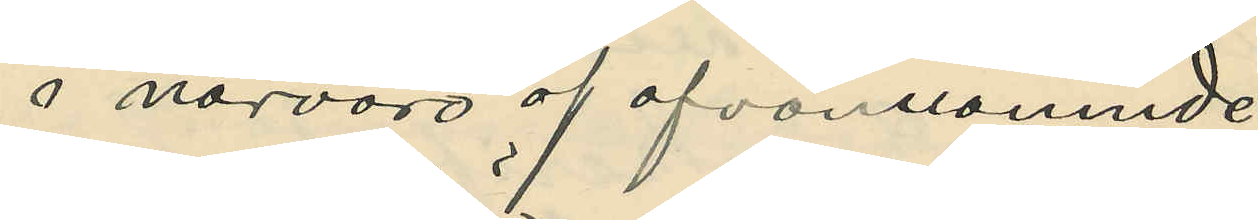i närvaro af ofvannämnde
